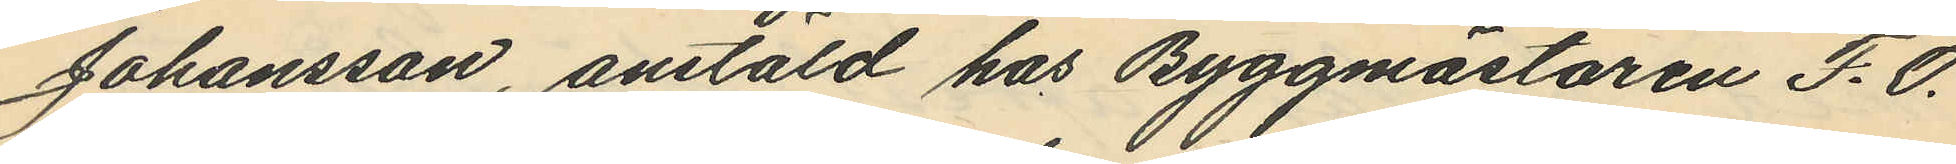Johansson, anstäld hos Byggmästaren F. O.
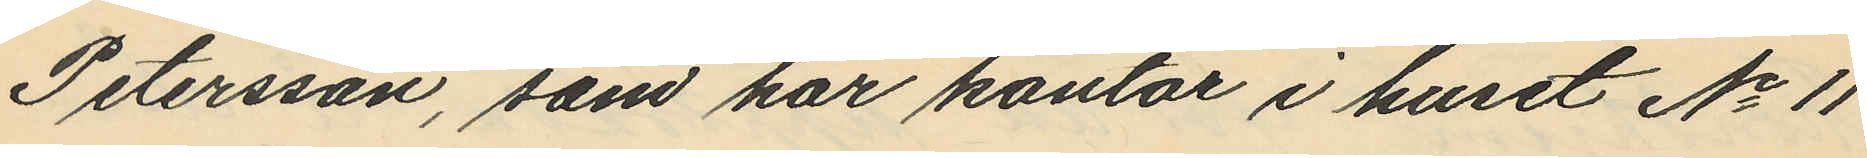Petersson, som har kontor i huset No 11
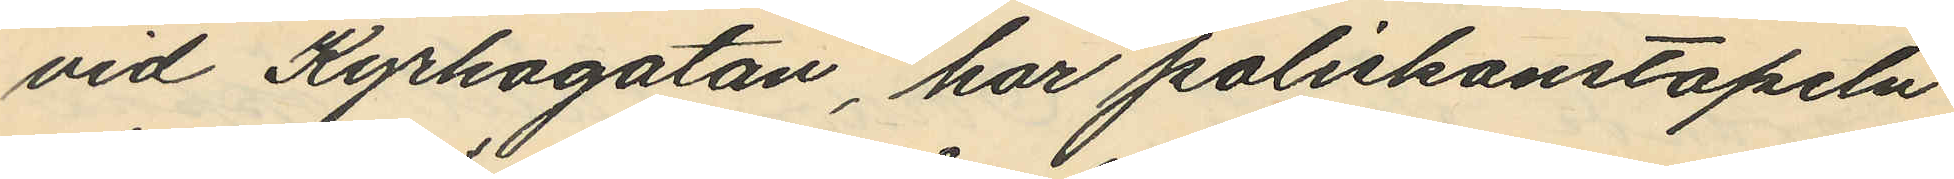vid Kyrkogatan, har poliskonstapeln
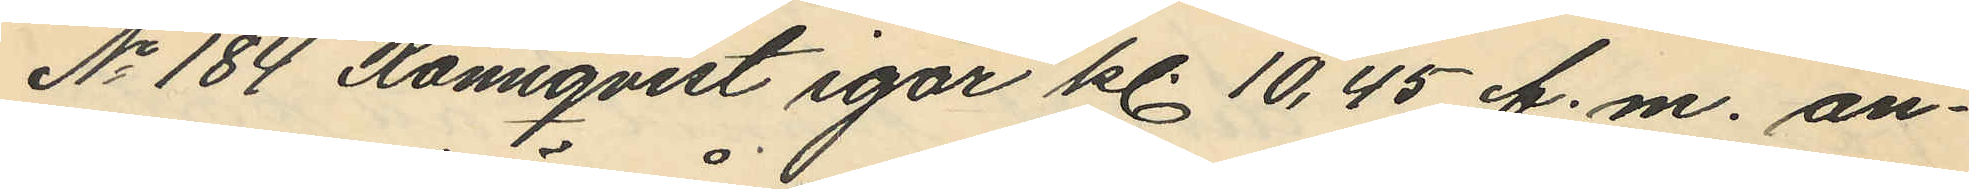No 184 Rönnqvist igår kl. 10,45 f. m. an¬
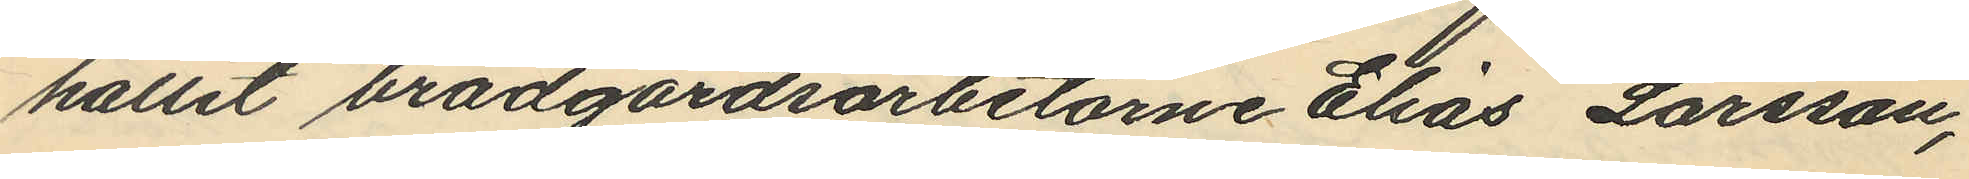hållit brädgårdsarbetarne Elias Larsson,
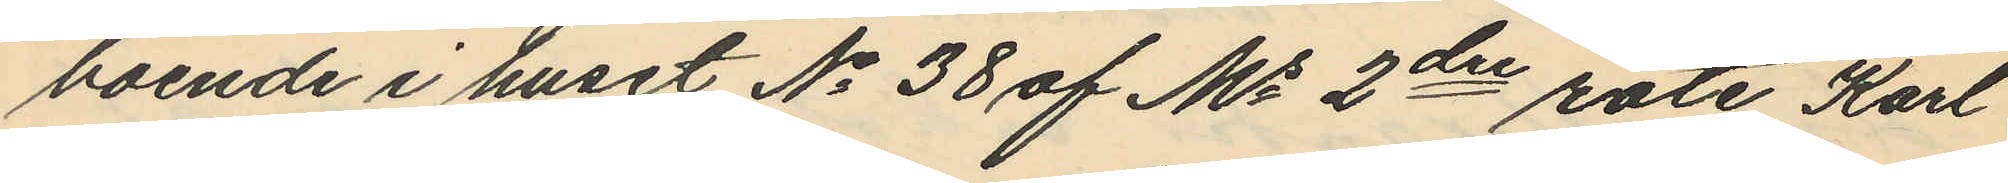boende i huset No 38 af Ms 2dre rote Karl
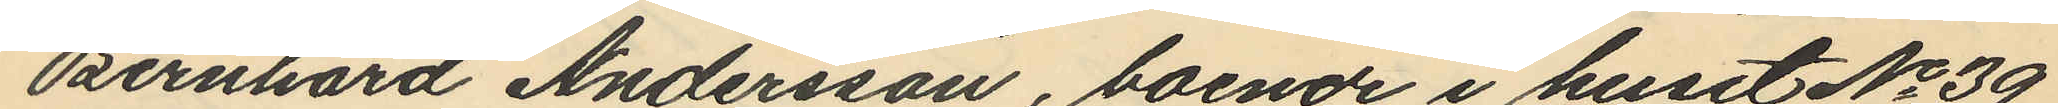Bernhard Andersson, boende i huset No 39
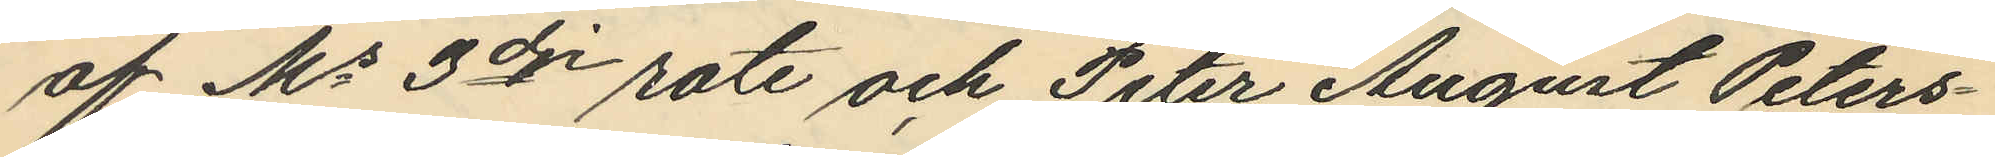af Ms 3dre rote och Peter August Peters¬
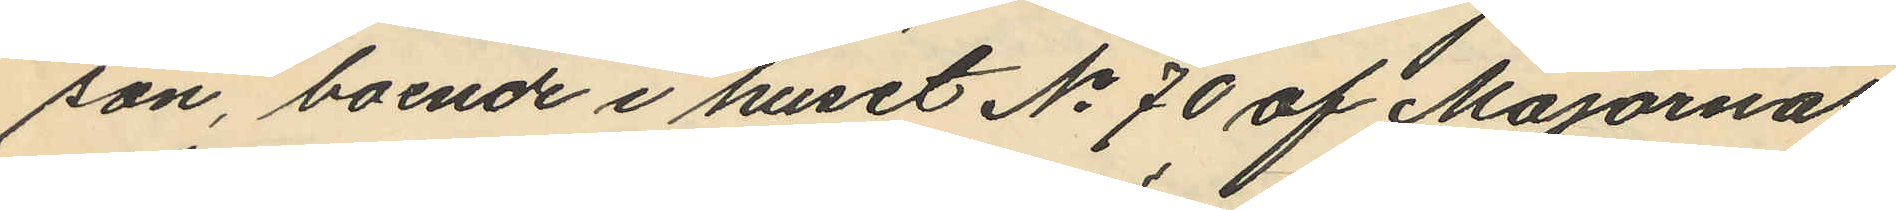son, boende i huset No 70 af Majornas
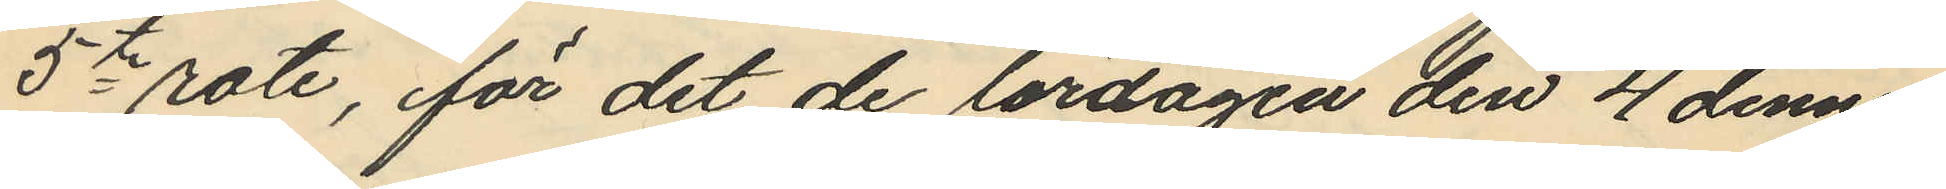5te rote, för det de lördagen den 4 dennes
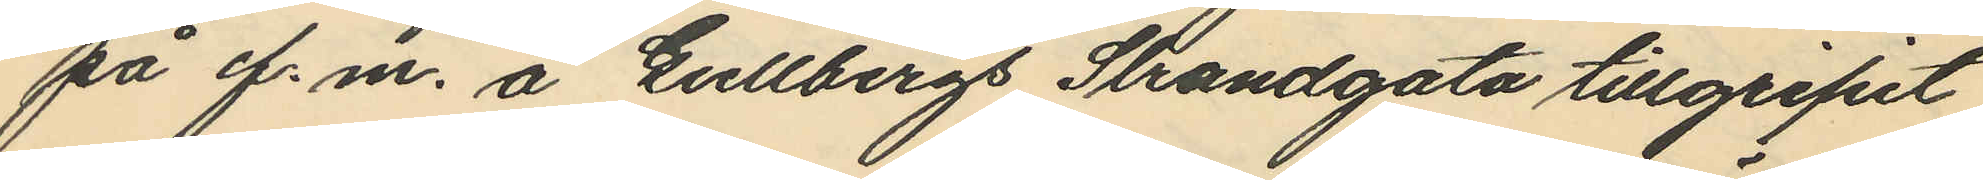på f. m. å Gullbergs Strandgata tillgripit
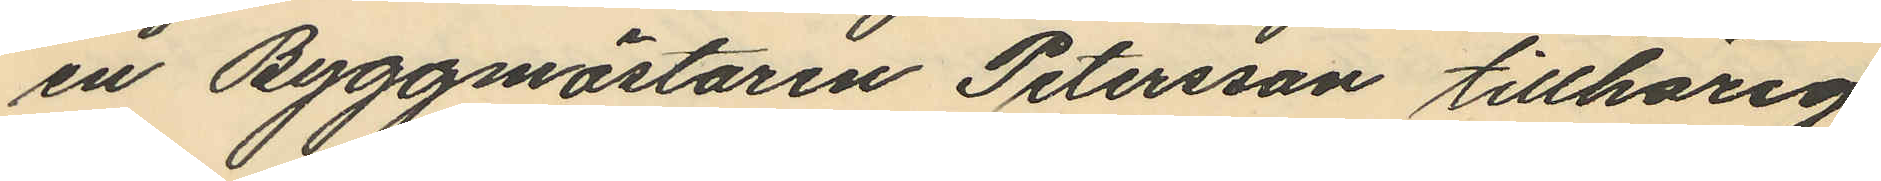en Byggmästaren Petersson tillhörig
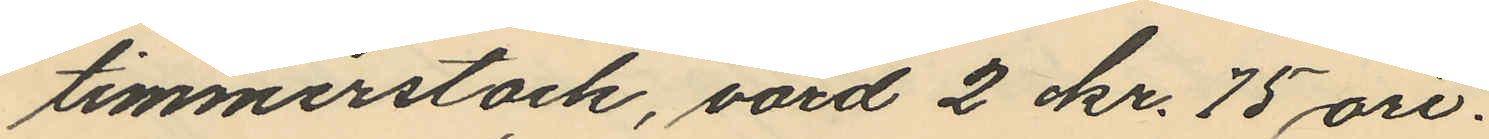timmerstock, värd 2 kr. 75 öre.
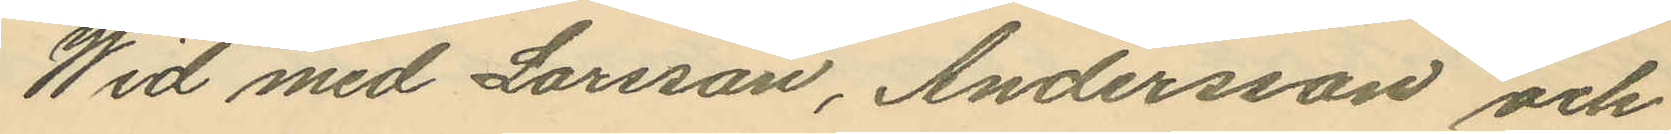Wid med Larsson, Andersson och
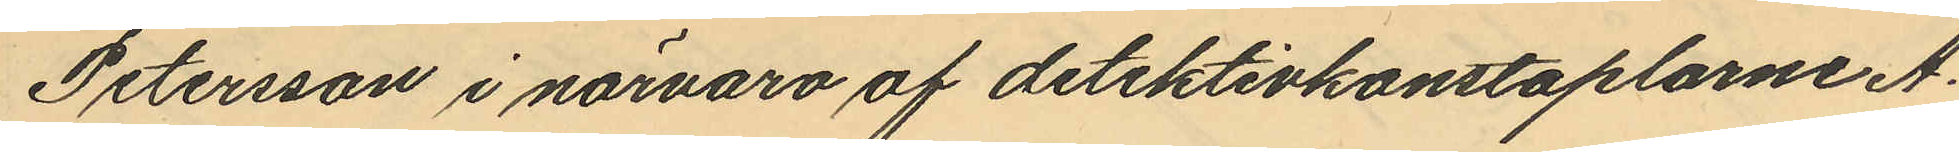Petersson i närvaro af detektivkonstaplarne A.
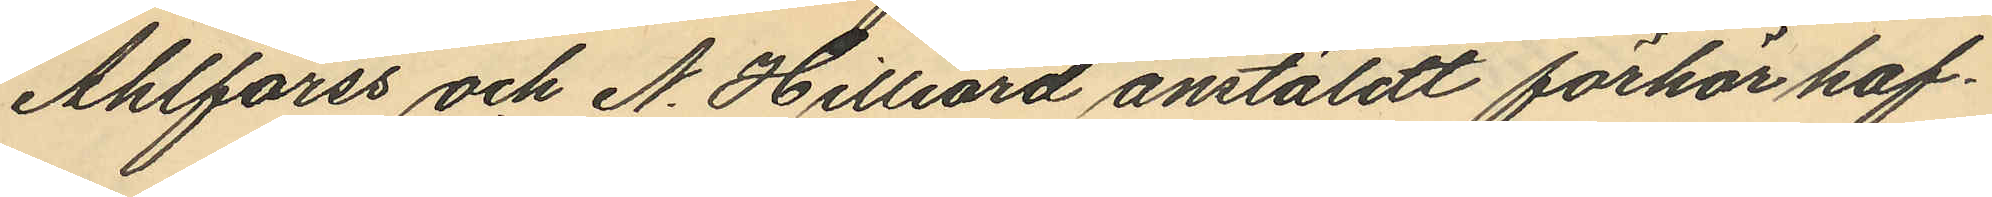Ahlforss och N. Hilliard anstäldt förhör haf¬
